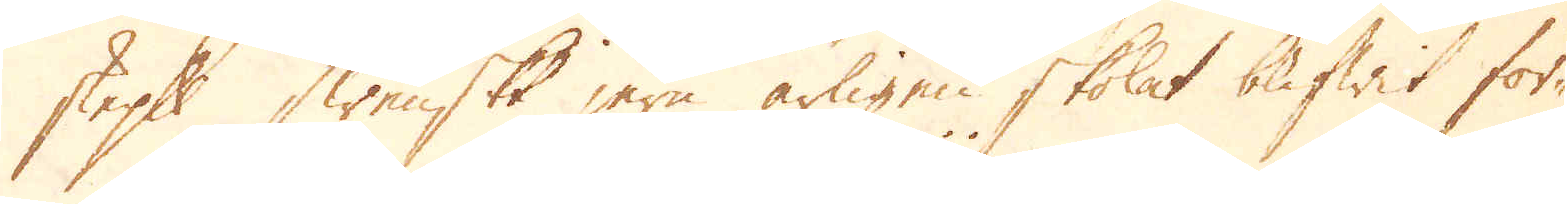skeppund Swenskt jern årligen skolat blifwit för-
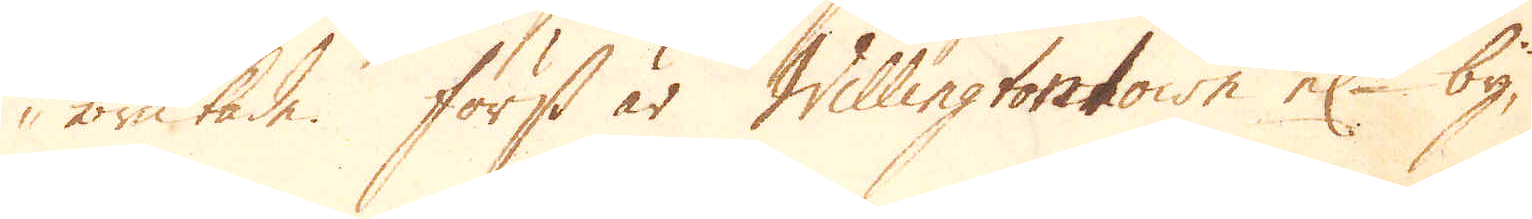brukade. Först är Willington town el:r by,
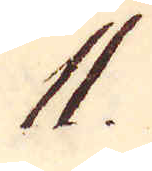11
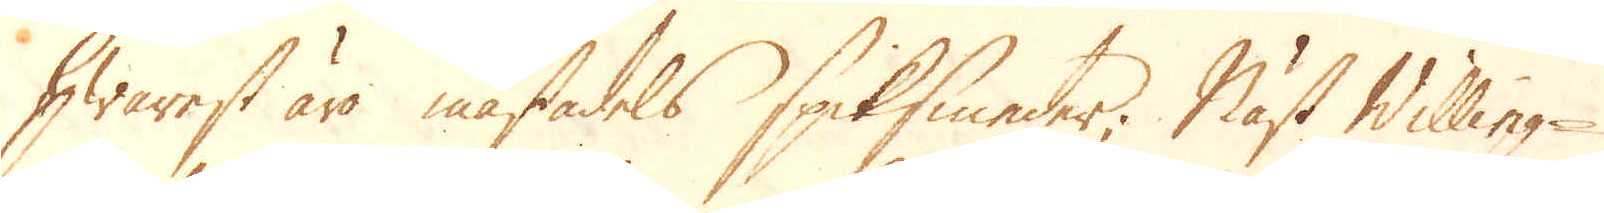Hwarest är mästadels spiksmeder; Näst Willing-
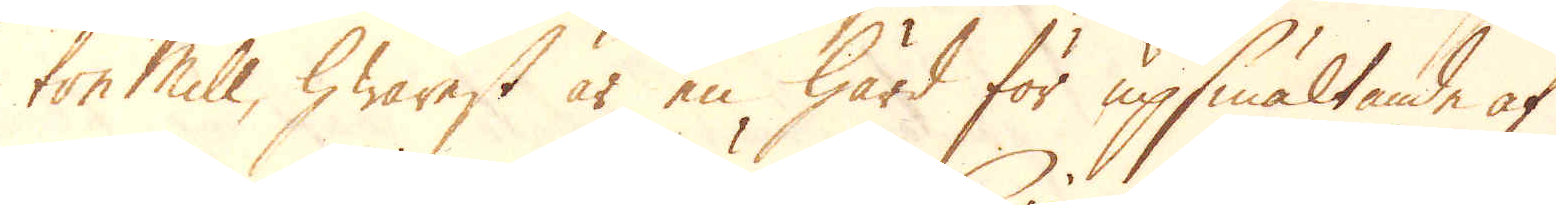ton mill, hwarest är en härd för upsmältande af
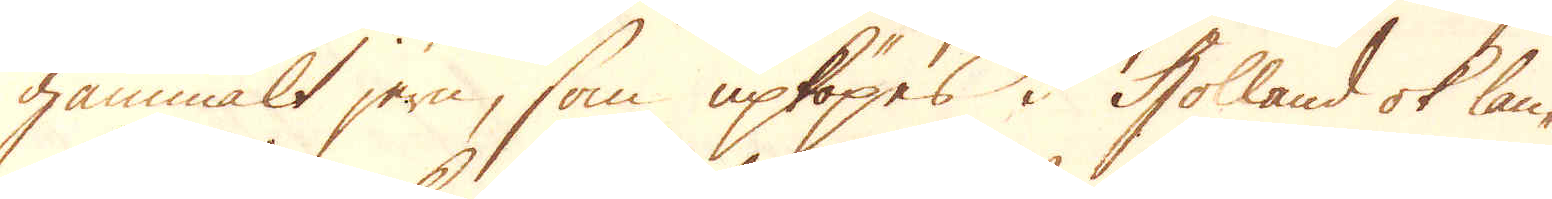gammalt jern, som upköpes i Holland ok lan-
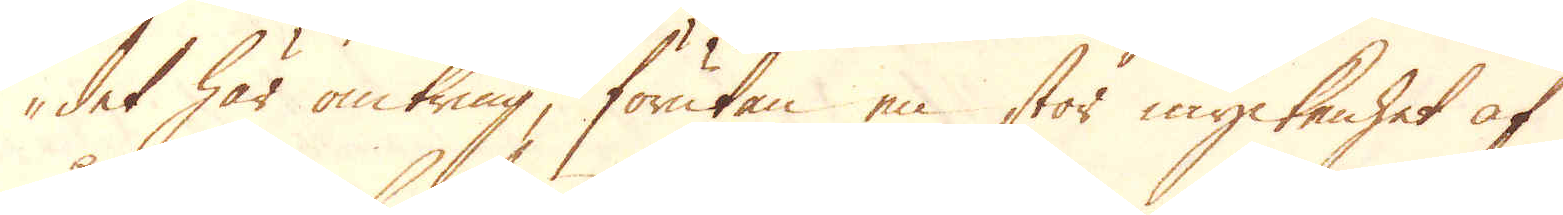det här omkring, förutan en stor myckenhet af
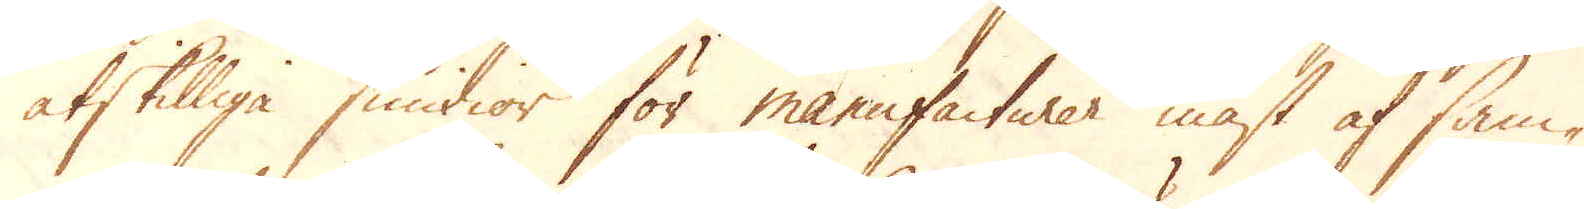åtskillige smidior för manufacturer mäst af sam-
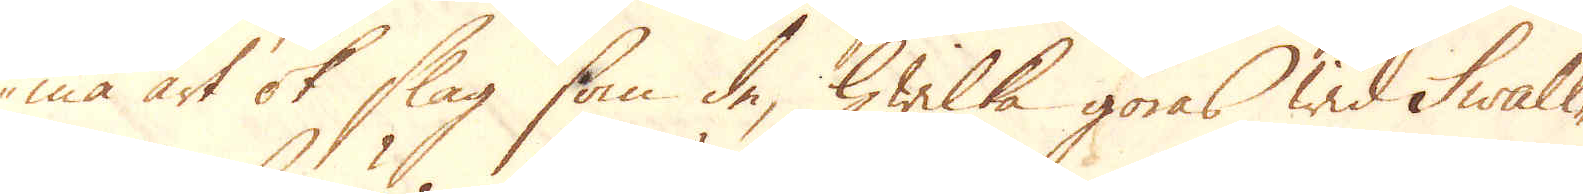ma art ok slag som de, hwilka göres wid Swall-
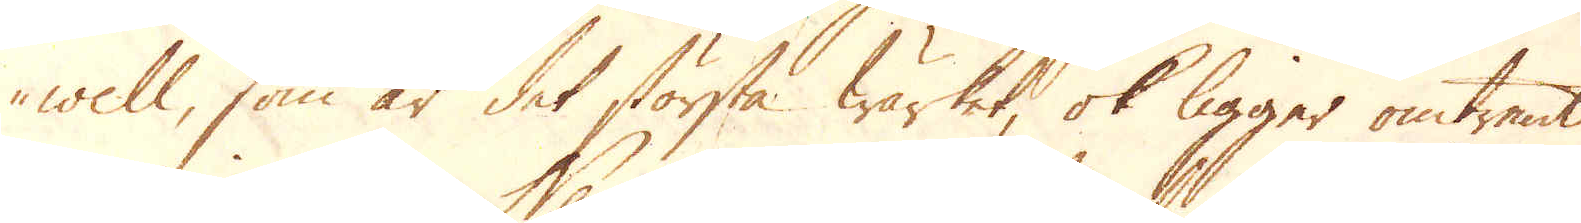well, som är det största wärket, ok ligger omtrent
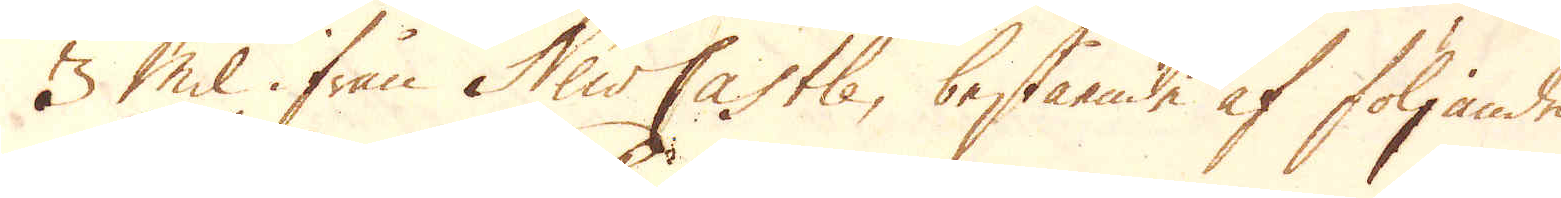3 mil ifrån New Castle, bestående af följande
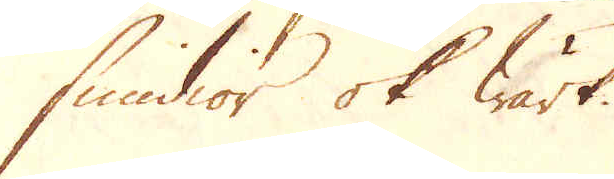smidior ok wärk.
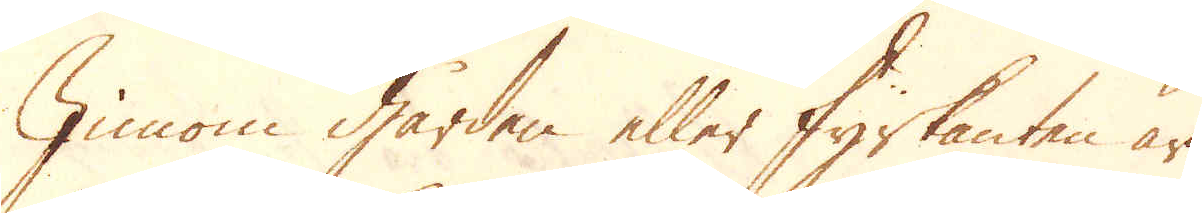Innom gården eller fyrkanten är
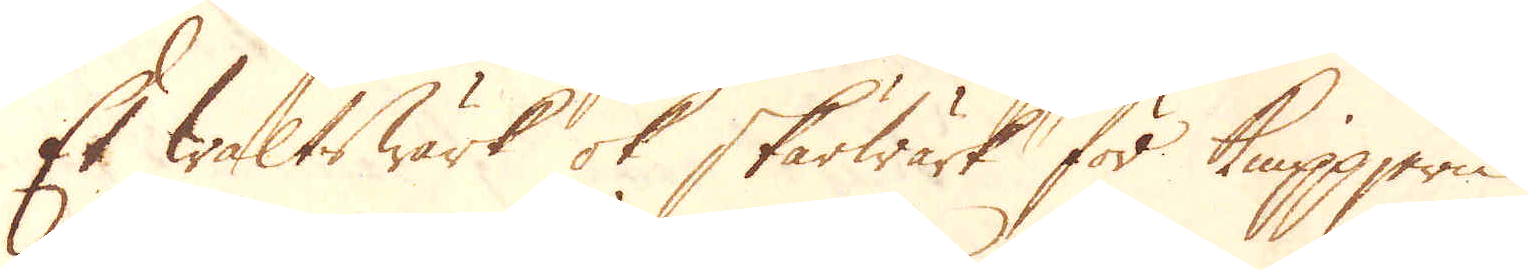Et waltswärk ok skärwärk för knippjern.
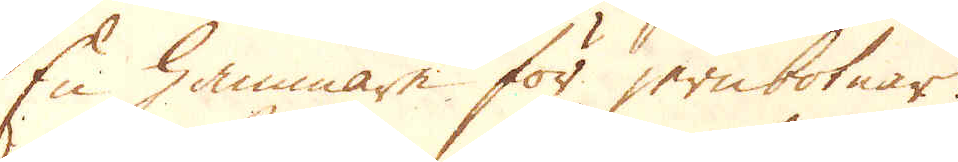En hammare för jernbotnar.
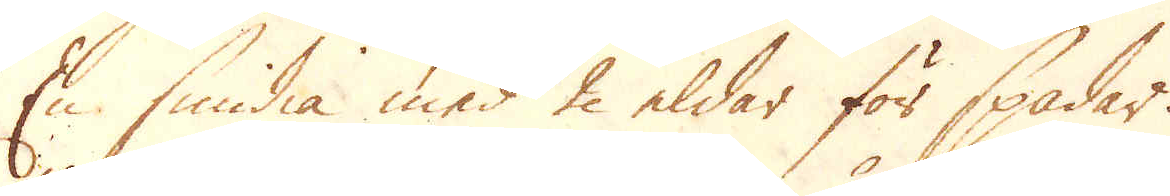En smidia med 2 eldar för spadar.
